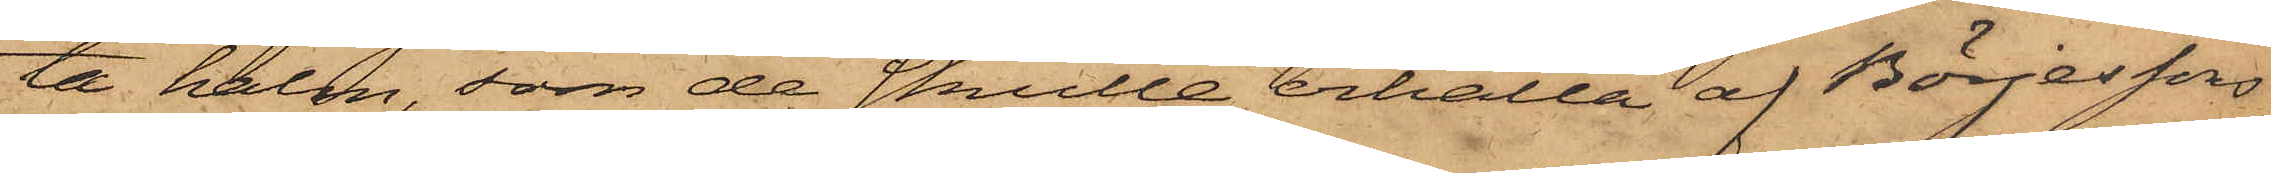ta halm, som de skulle erhålla af Börjessons
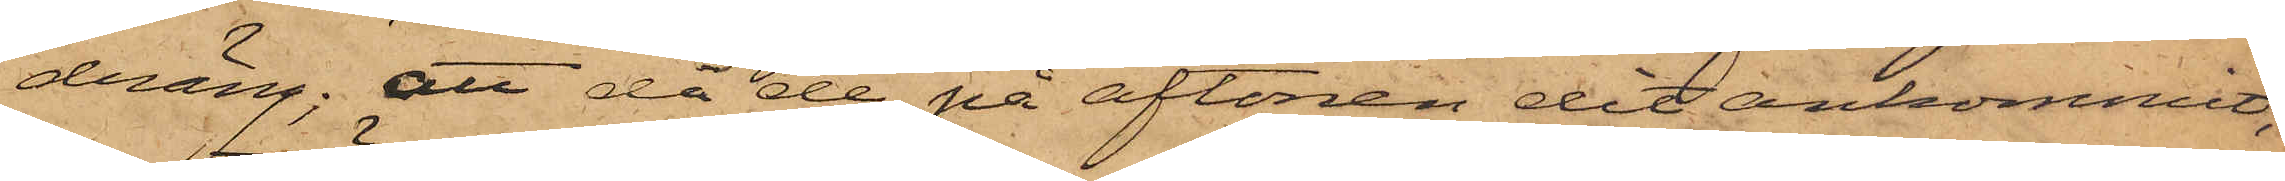dräng; att då de på aftonen dit ankommit,
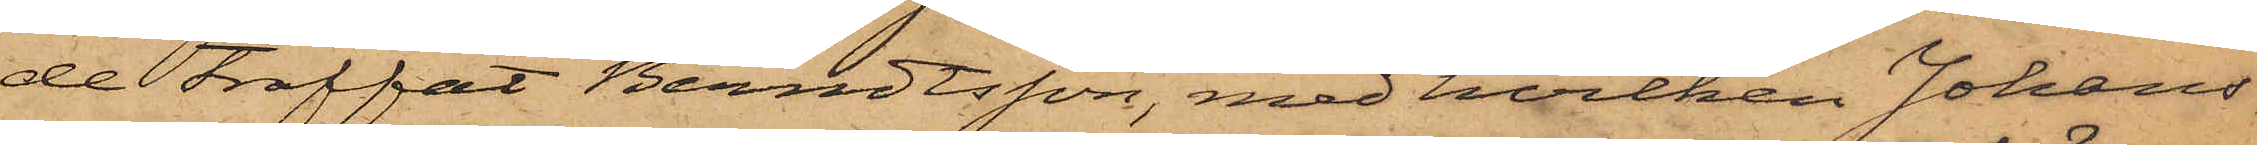de träffat Berndtsson, med hvilken Johans¬
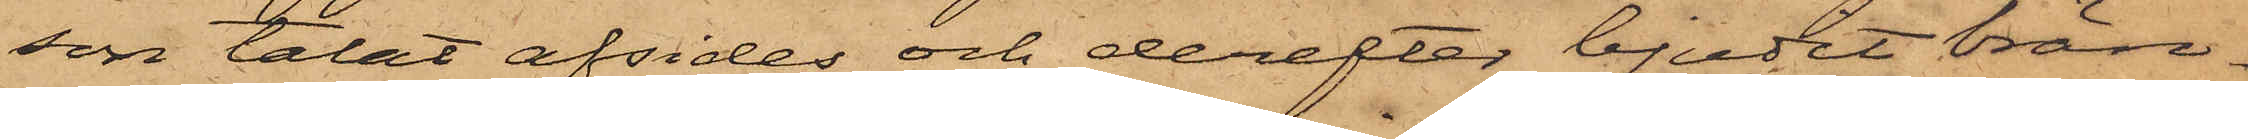son talat afsides och derefter bjudit brän¬
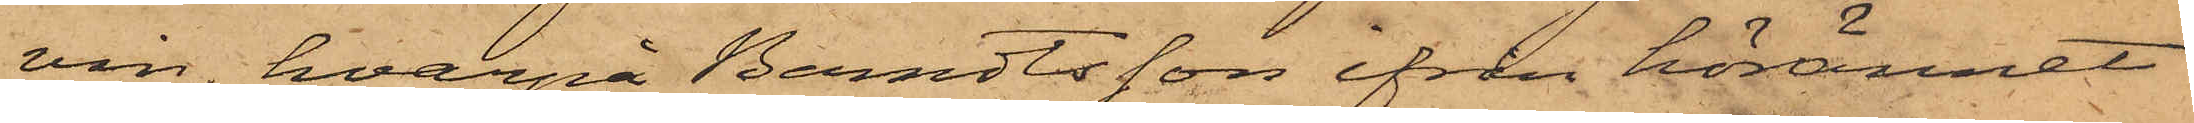vin, hvarpå Berndtsson ifrån hörännet
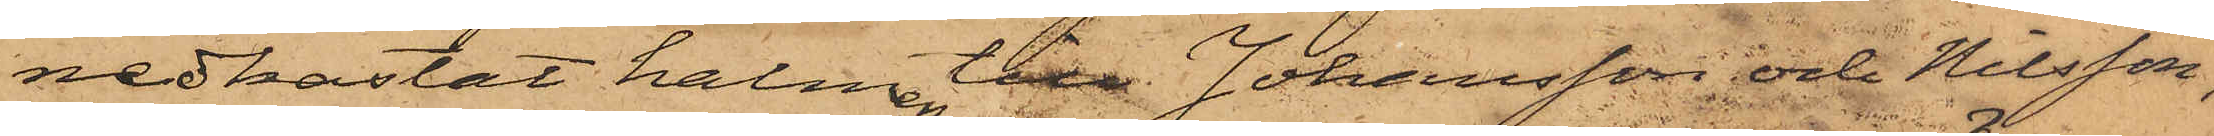nedkastat halmen till Johansson och Nilsson,
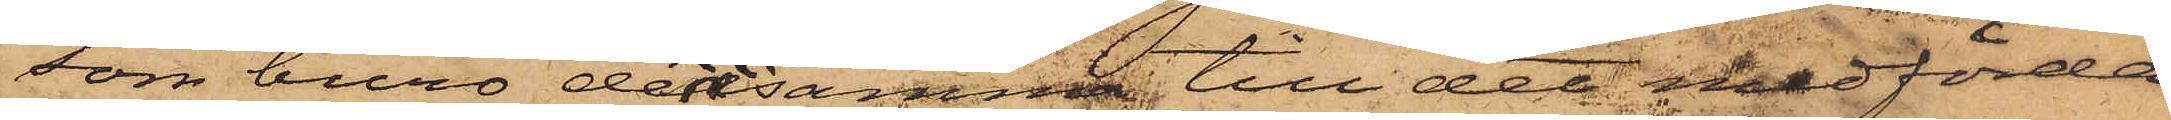som buro densamma till det medförda
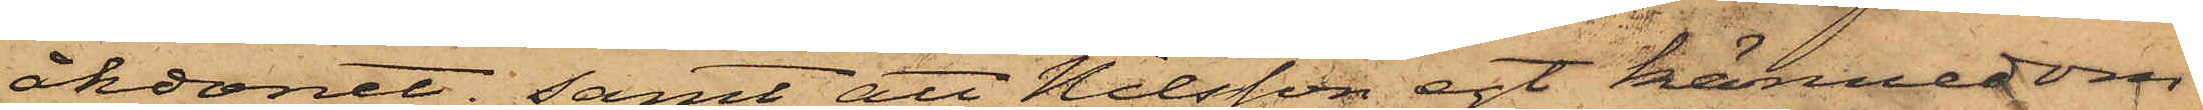åkdonet; samt att Nilsson egt kännedom
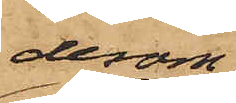derom
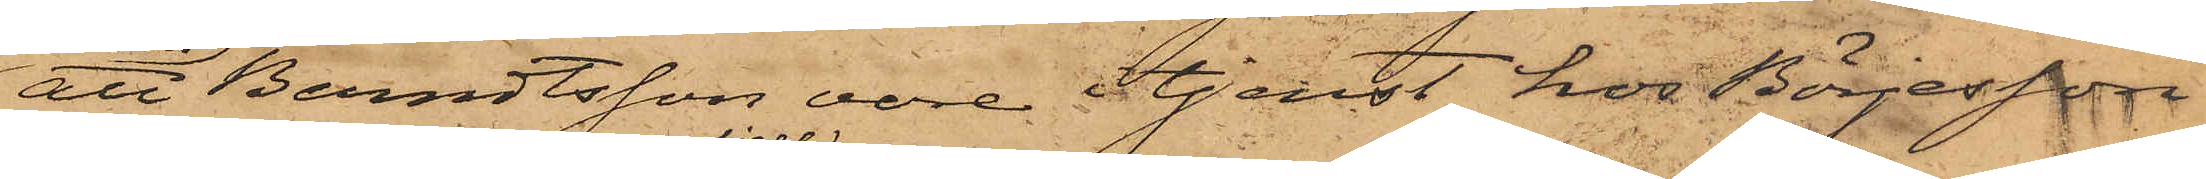att Berndtsson vore i tjenst hos Börjesson
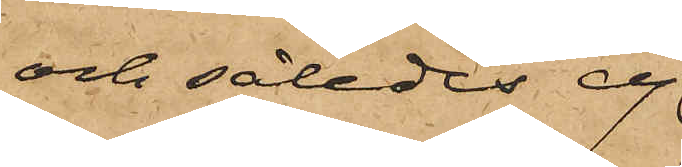och således ej
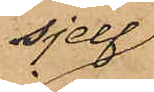sjelf
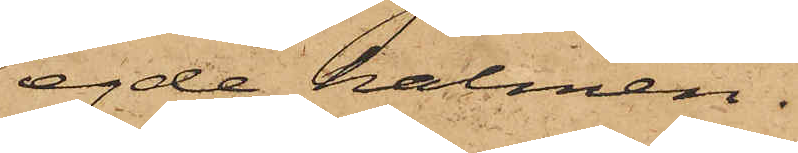egde halmen.
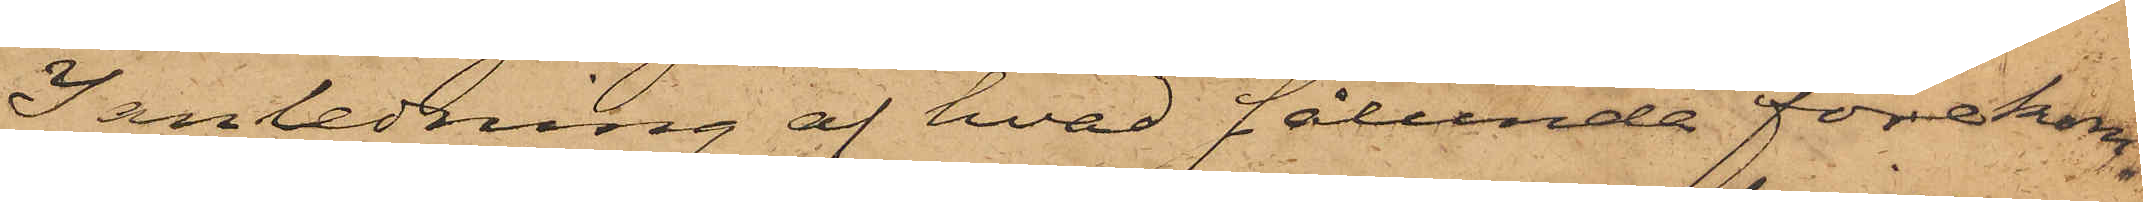I anledning af hvad sålunda förekom¬
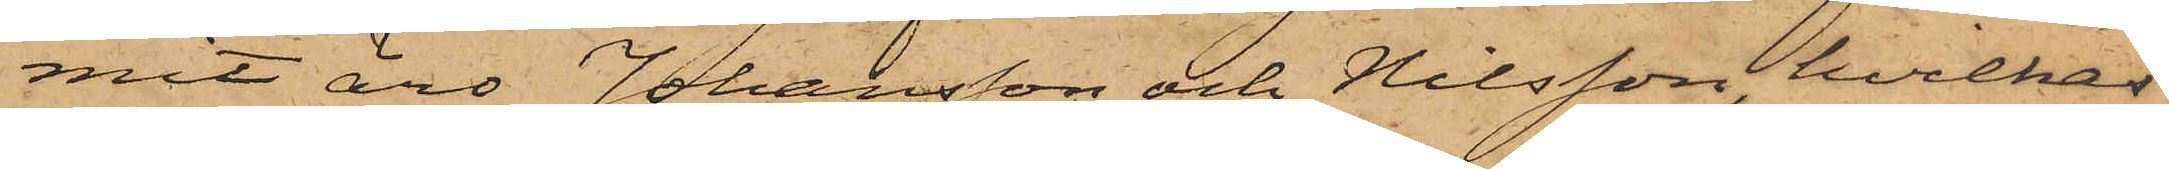mit äro Johansson och Nilsson, hvilkas
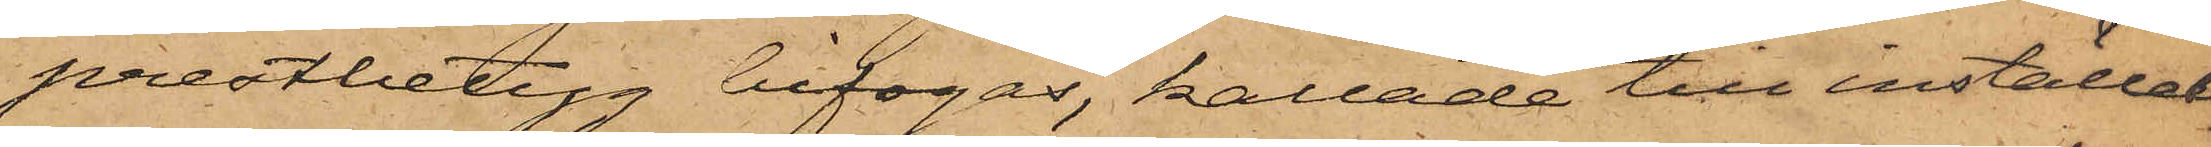prestbetyg bifogas, kallade till inställel¬
